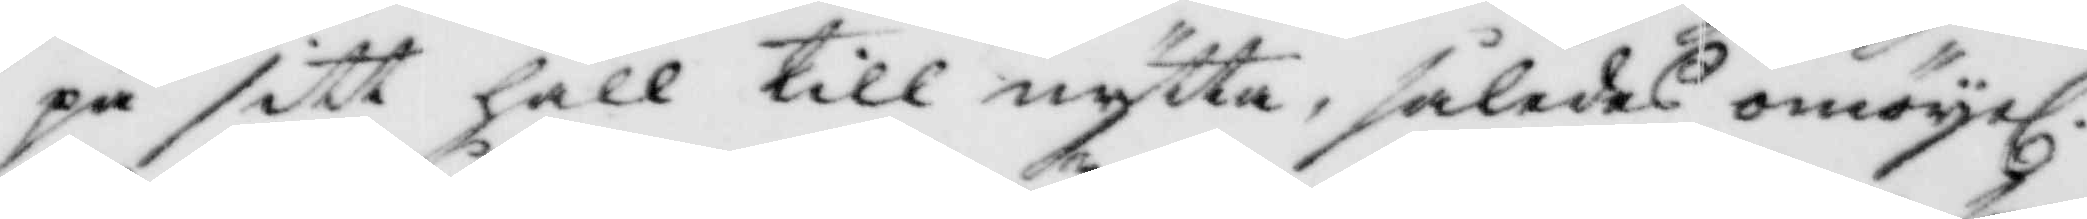på sitt håll till nytta, således omöyel. 
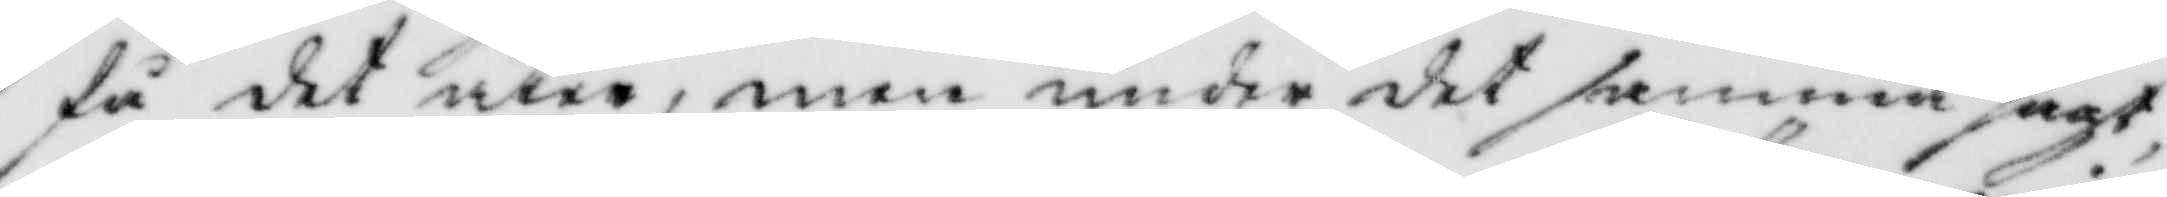få det åter,men under det samma sagt
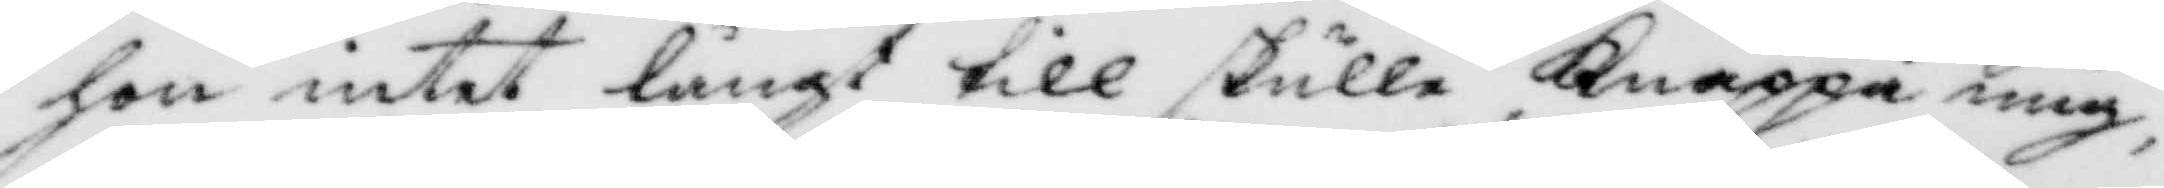hon intet långt till skulle Knäppa mig,
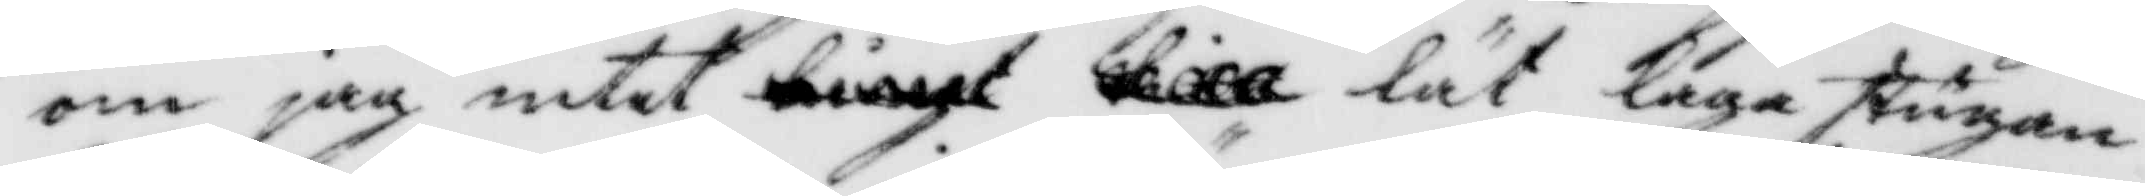om jag intet lät laga stugan
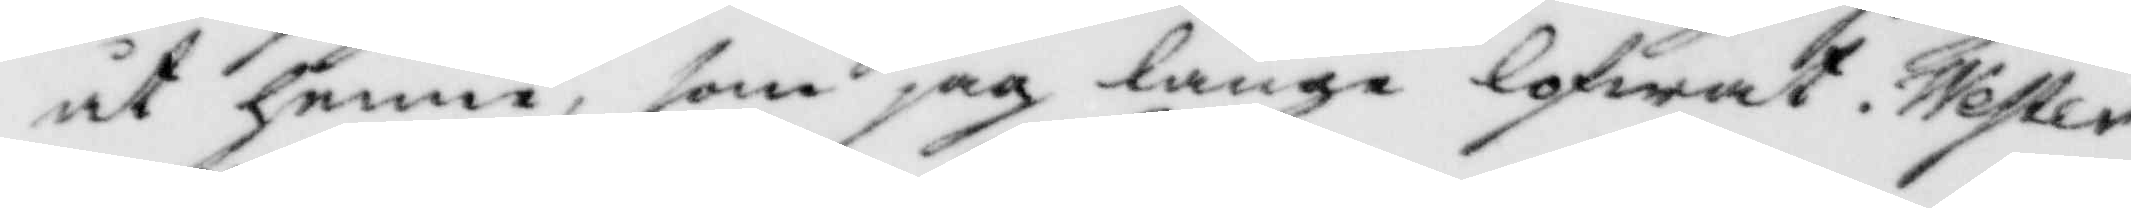åt henne, som jag länge lofwat. Wester¬
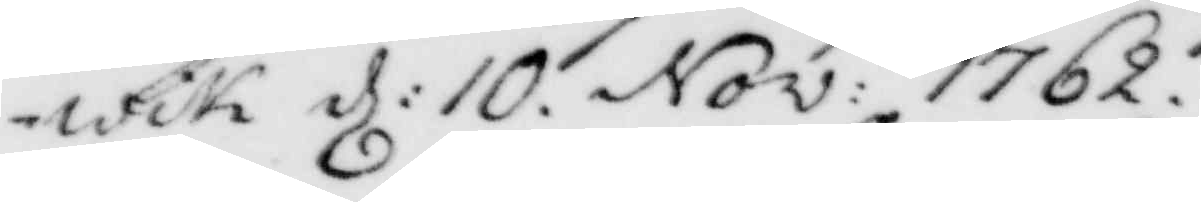wik d: 10. Nov: 1762.
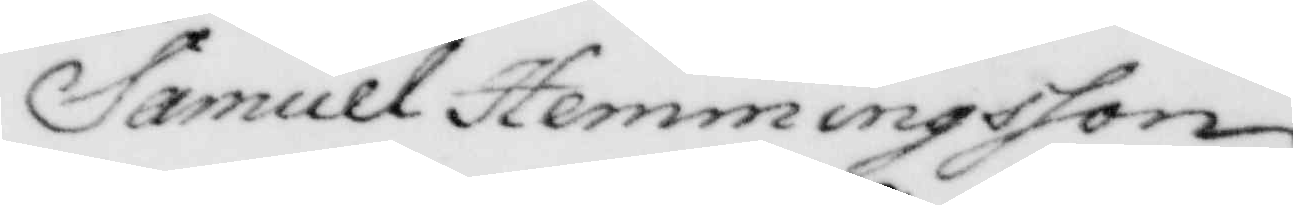Samuel hemmingsson
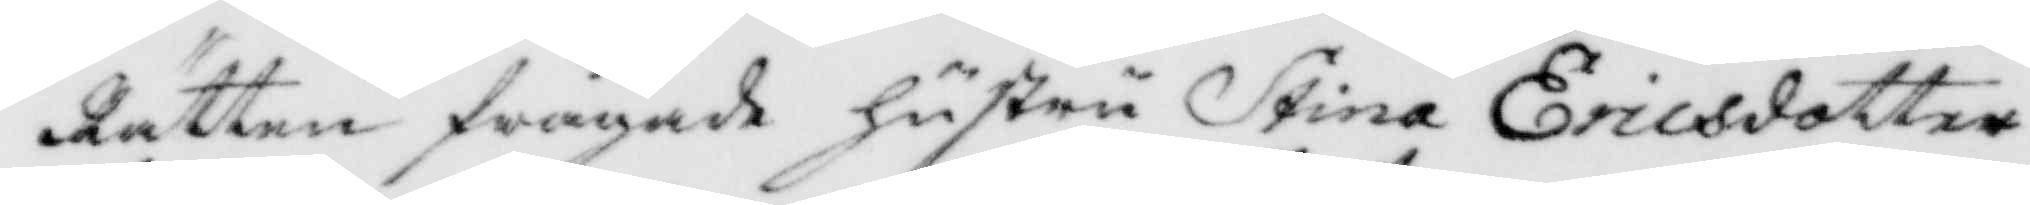Rätten frågade hustru Stina Ericsdotter
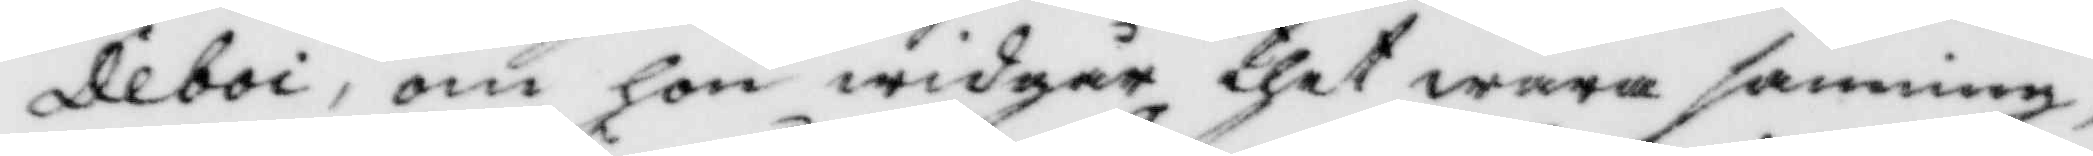Deboi, om hon widgår thet wara sanning,
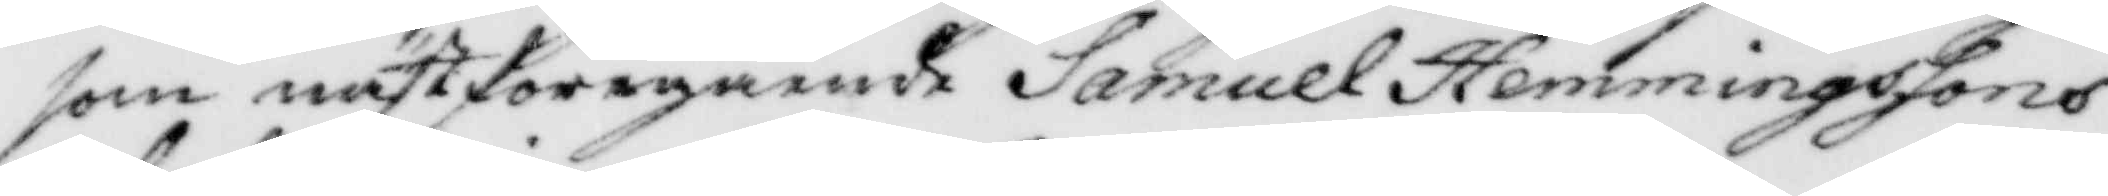som nästföregående Samuel hemmingssons
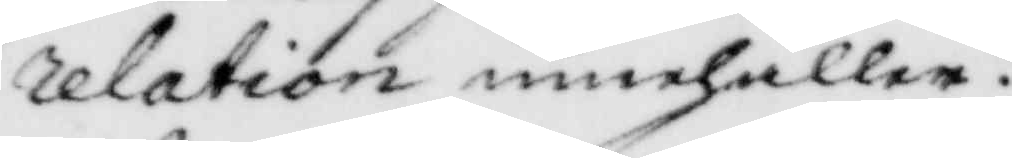relation innehåller?
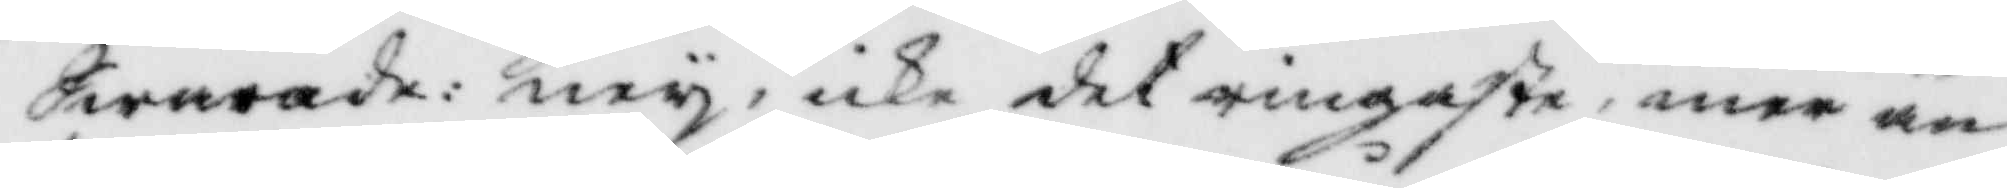Swarade; ney, icke det ringaste, mer än
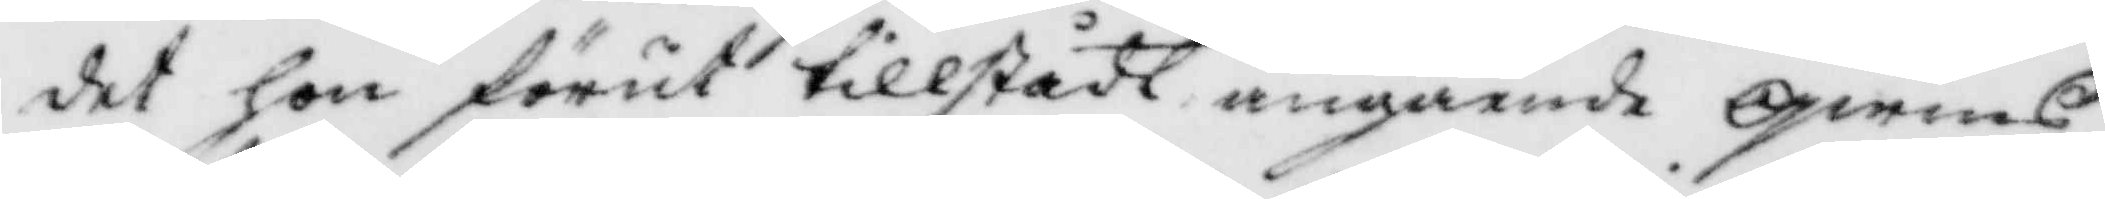det hon förut tillstådt angående qwins¬
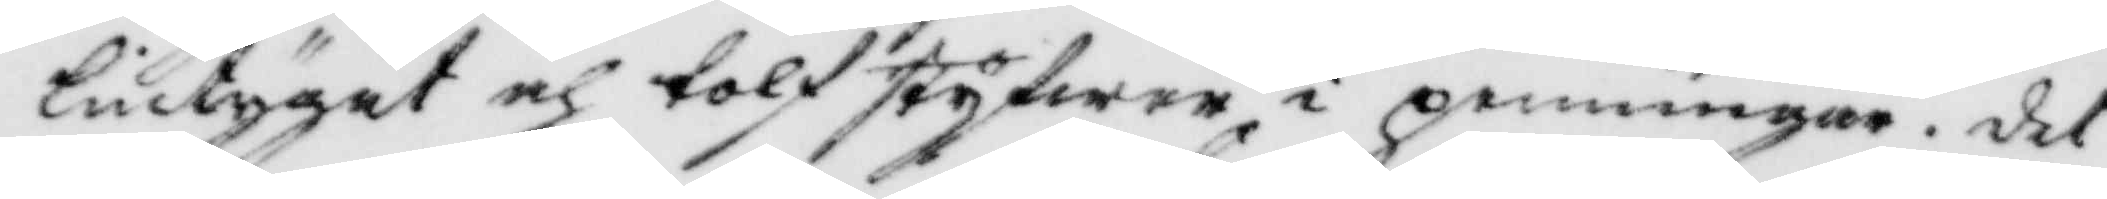lintyget och tolfstyfwer i penningar. det
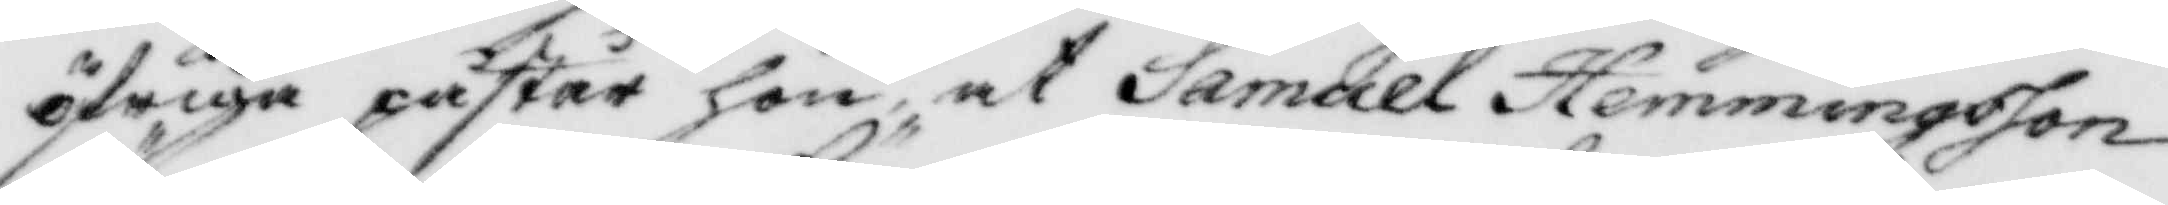öfriga påstår hon, at Samuel Hemmingsson
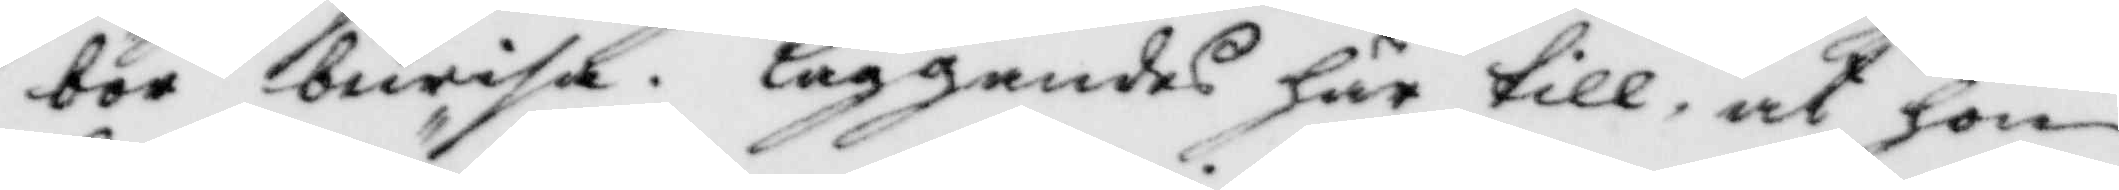bör bewisa. läggandes här till, at hon
